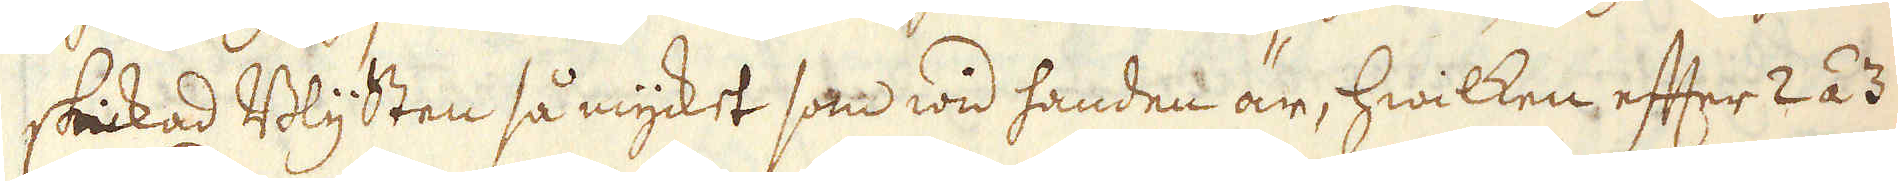skickad Blysten så mycket som wid handen är, hwilken efter 2 á 3
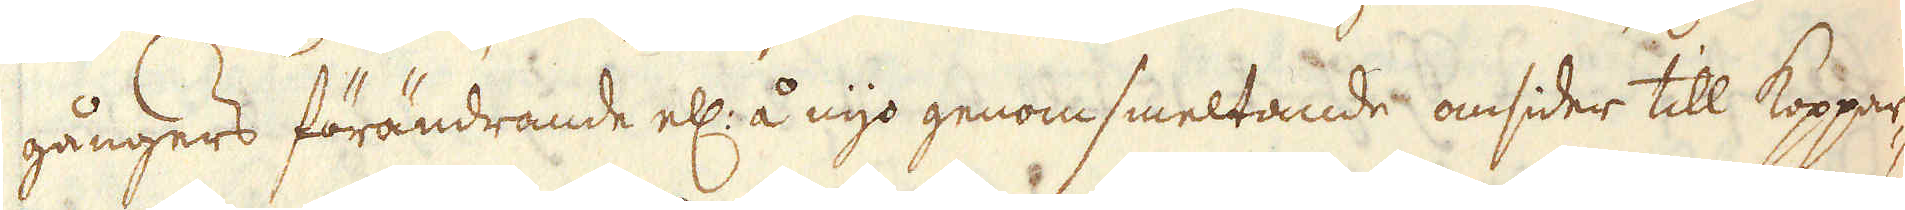gångers förändrande ell: å nyo genomsmeltande omsider till Koppar-
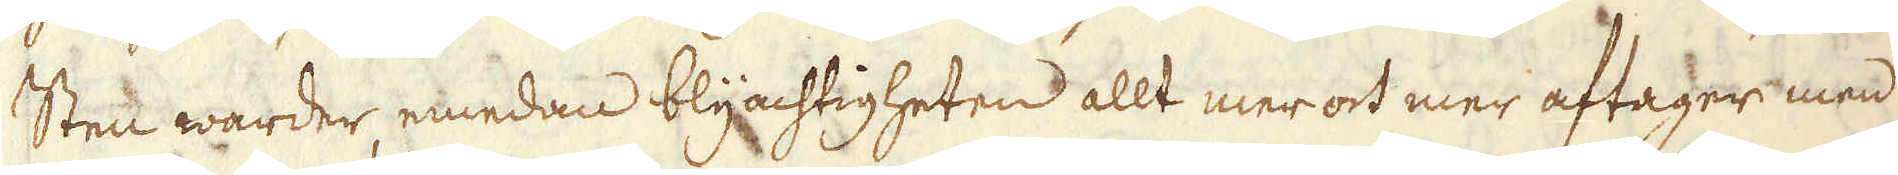Sten warder, emedan blyachtigheten allt mer ock mer aftager men
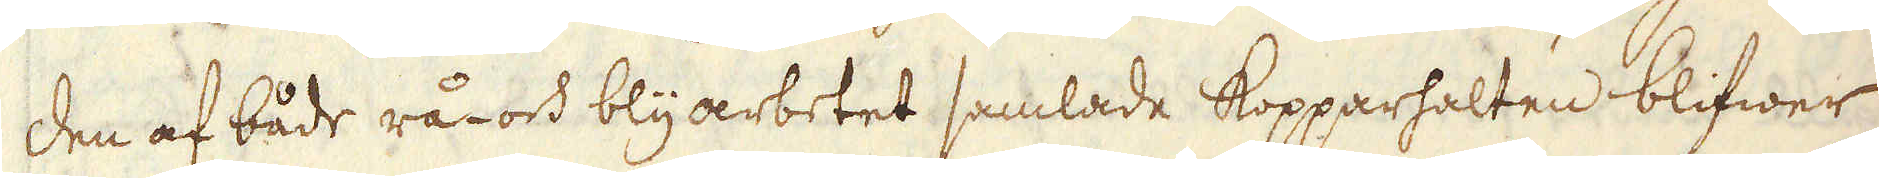den af både rå- och blyarbetet samlade Kopparhalten blifwer
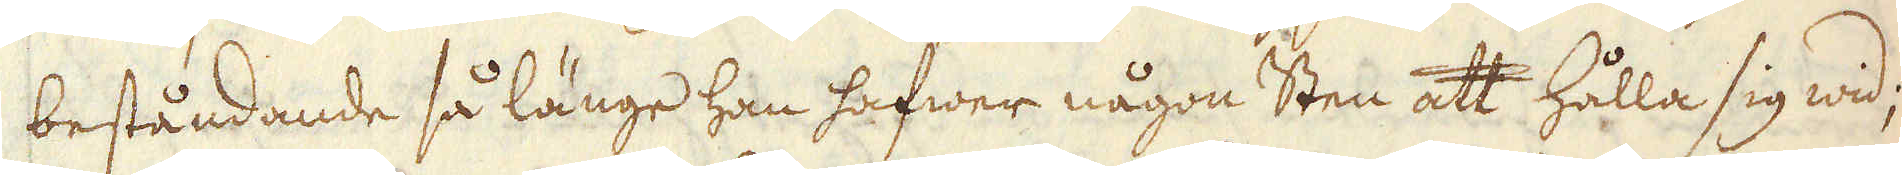beståndande så länge han hafwer någon Sten att hålla sig wid;
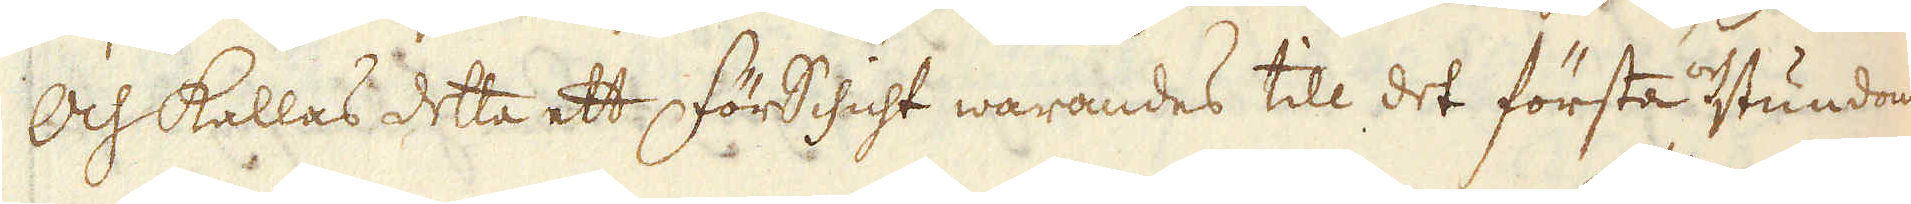Och kallas detta ett FörSchicht warandes till det första och stundom
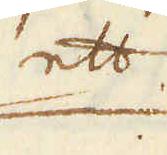ett
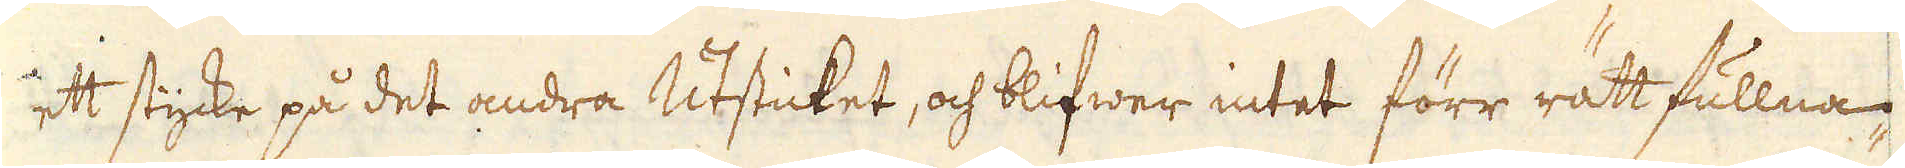ett stycke på det andra Utsticket, och blifwer intet förr rätt fullna-
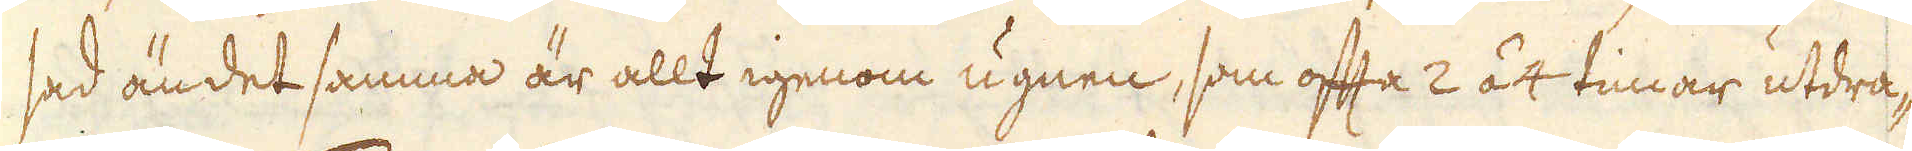sad än det samma är allt igenom ugnen, som ofta 2 á 4 timar utdra-
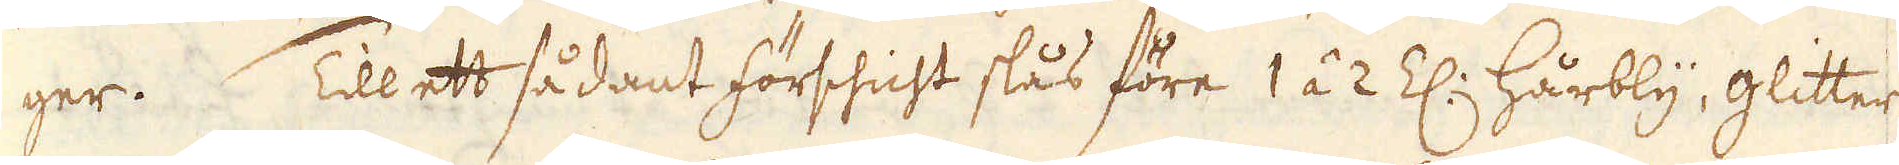ger. Till ett sådant förshicht slås före 1 á 2 Z: hårbly, glitter
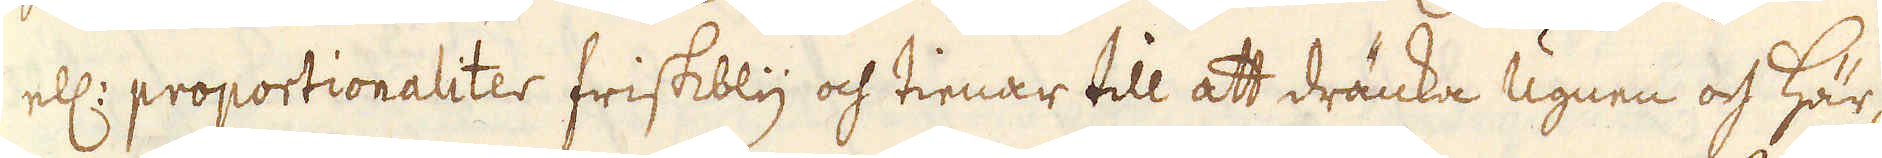ell: proportionaliter friskbly och tienar till att dränka ugnen och här-
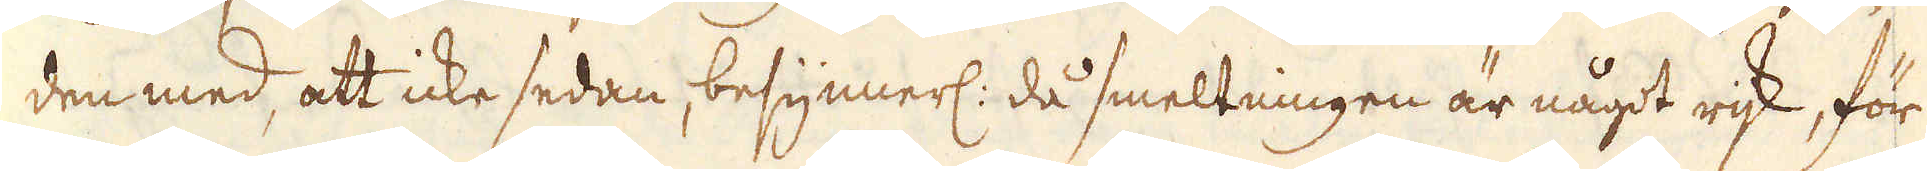den med, att icke sedan, besynnerl: då smeltningen är något rijk, för
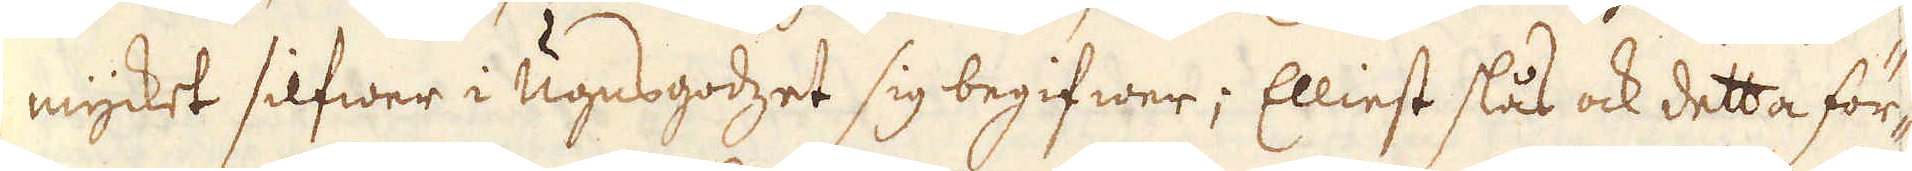mycket silfwer i Ugnsgodzet sig begifwer; Elliest slås ock detta för-
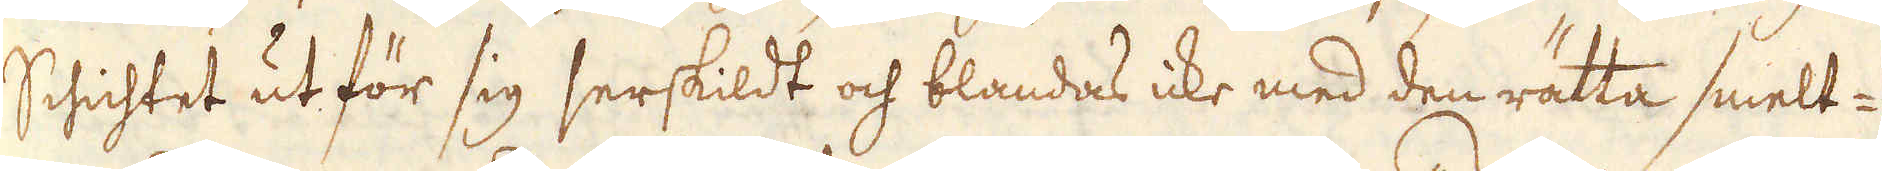Schichtet ut för sig serskildt och blandas icke med den rätta smelt-
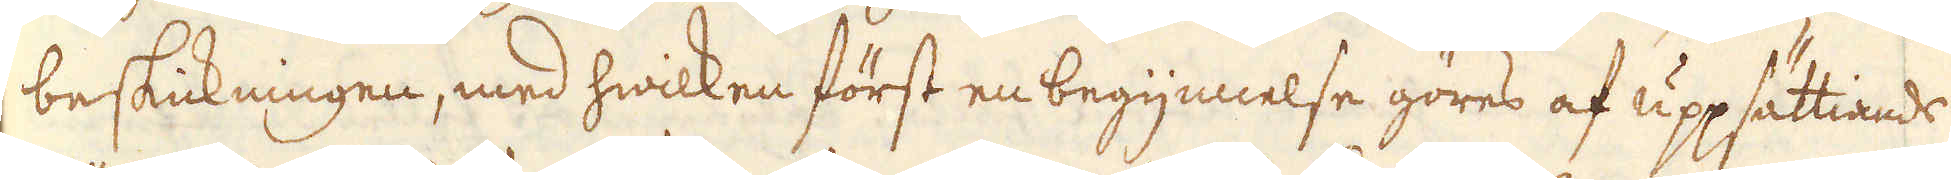beskickningen, med hwilken först en begynnelse göres af uppsättiande
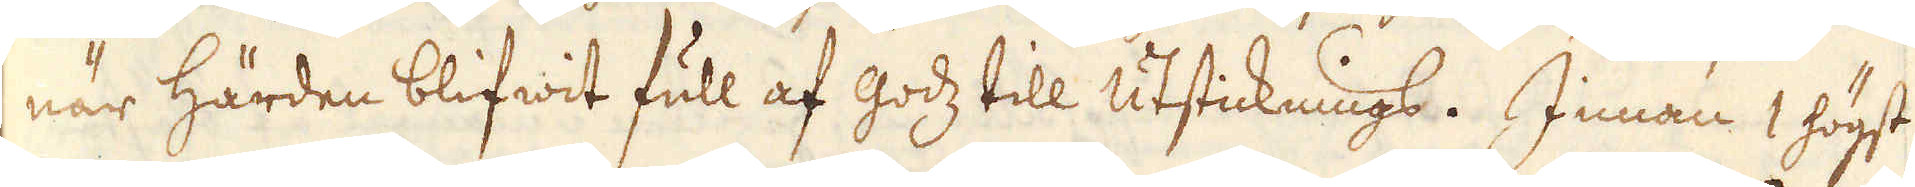när härden blifwit full af godz till utsticknings. Innan 1 högst
